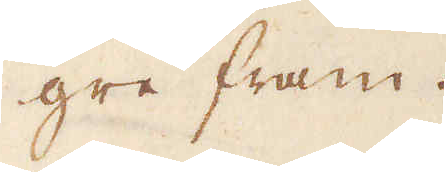gre fram.
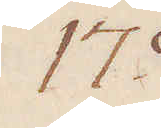17:o
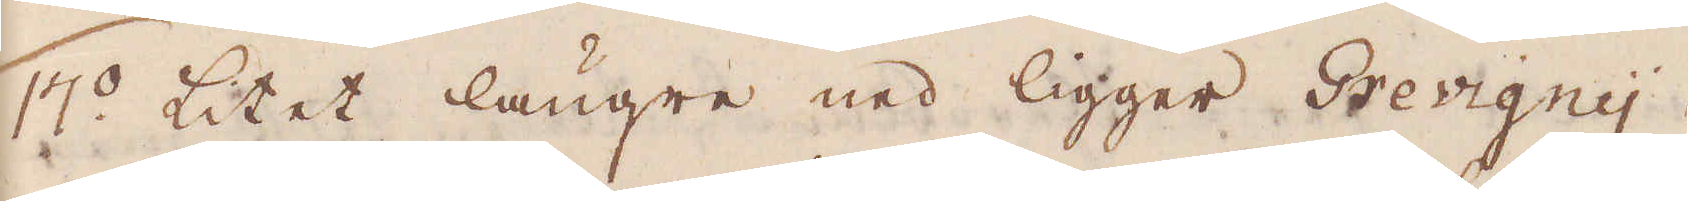17:o Litet längre ned ligger Grevigny
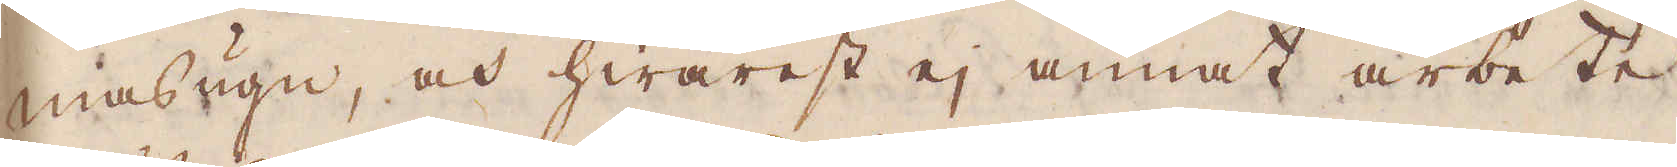masugn, och hwarest ej annat arbete
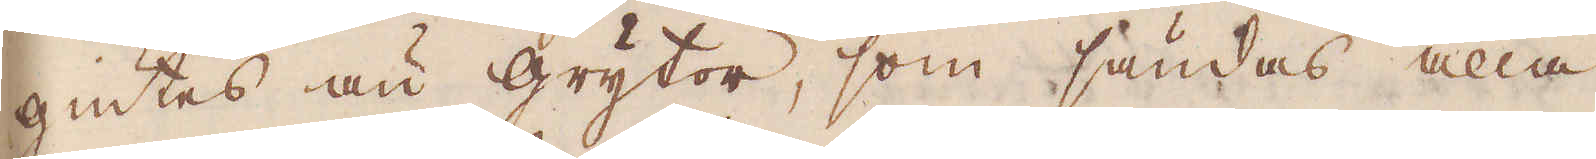giutes än grytor, som sändas alla
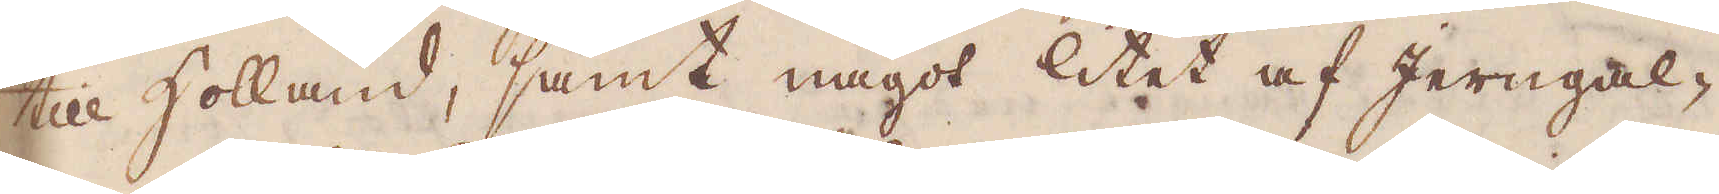till Holland, samt något litet af Jerngal-
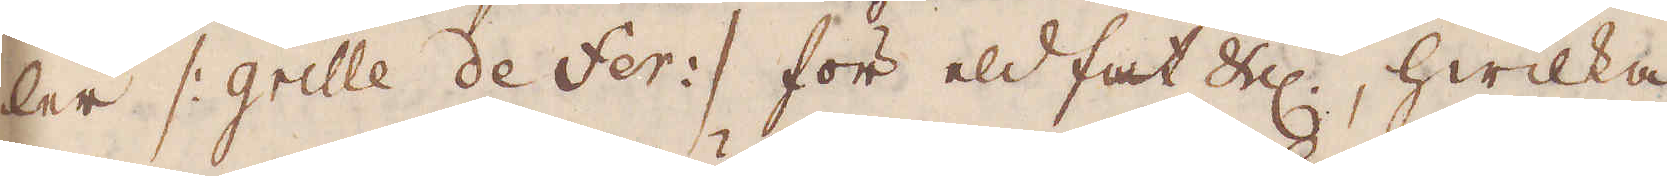ler /: grille de Fer :/ för eld fat &c, hwilka
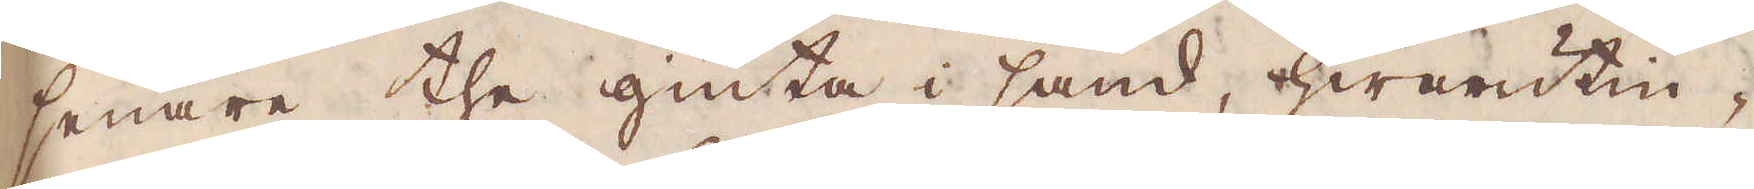senare the giuta i sand, hwarutin-
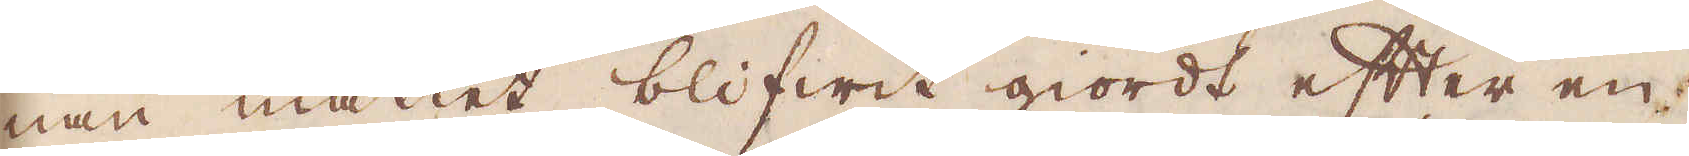nan måttet blifwit giordt efter en
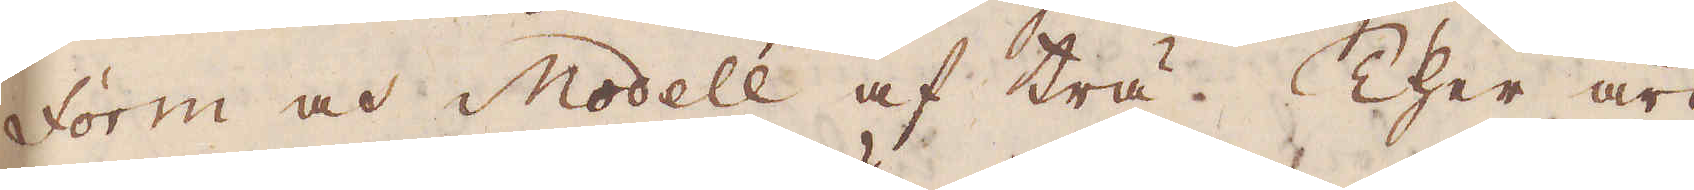Form och Modell af trä. Ther äro
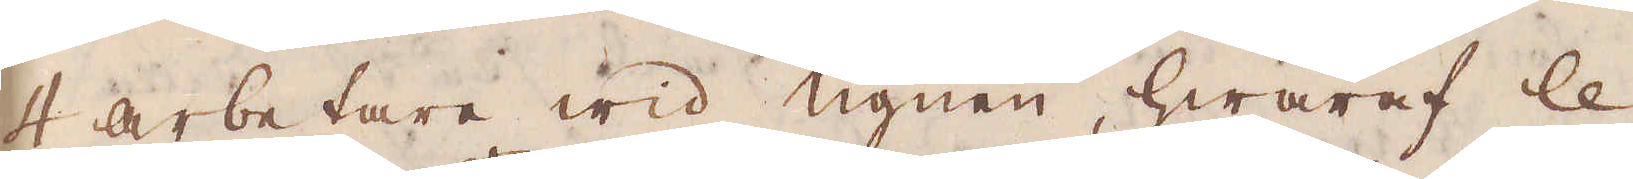4 arbetare wid ugnen hwaraf le
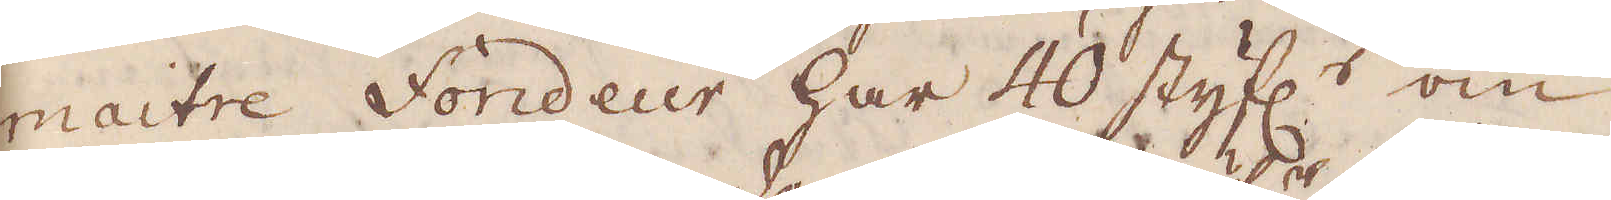maitre fondeur har 40 styf:r om
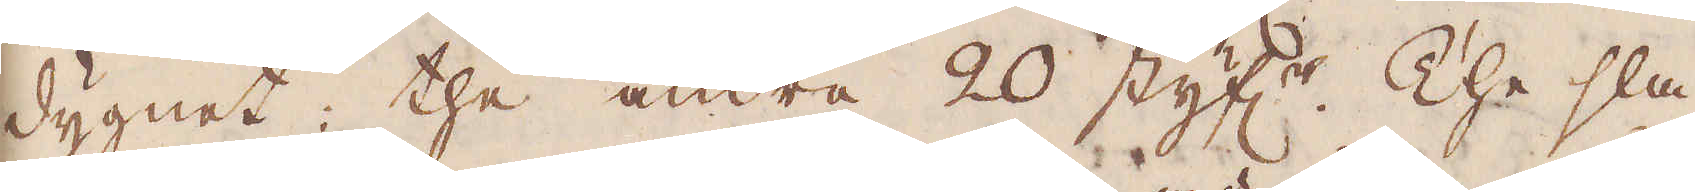dygnet, the andra 20 styf:r The slå
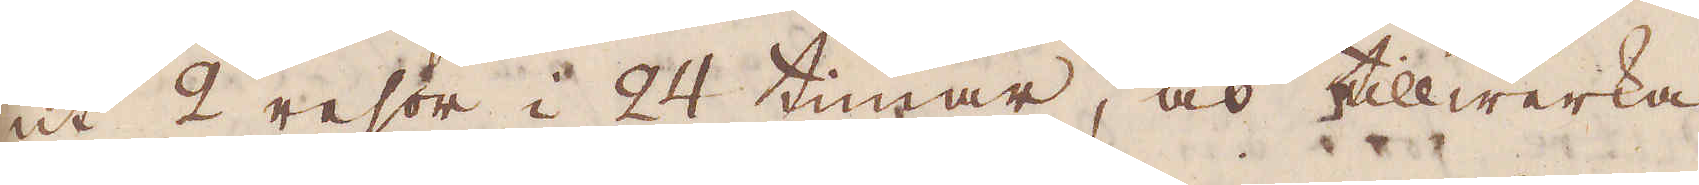ut 2 resor i 24 timar, och tillwerka
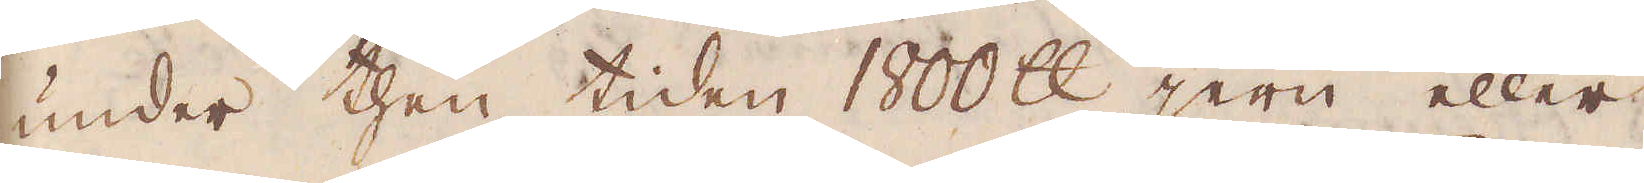under then tiden 1800 skålpund jern eller
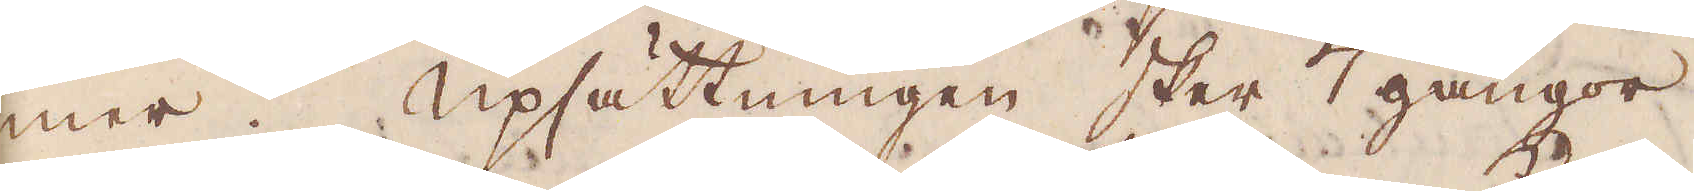mer. Upsättningen sker 7 gångor
